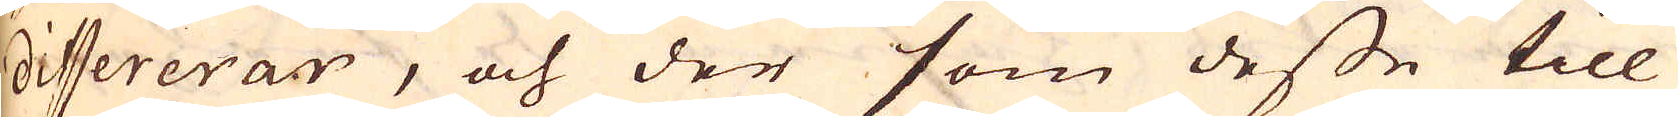differerar, och der som desse till
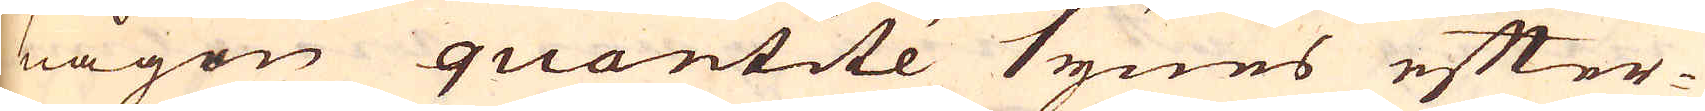någon quantité synes efter-
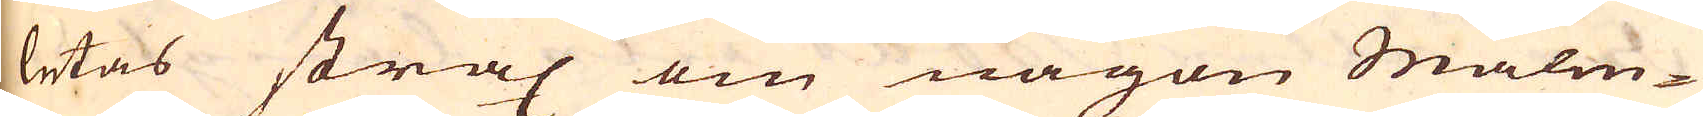letas strax om någon Malm-
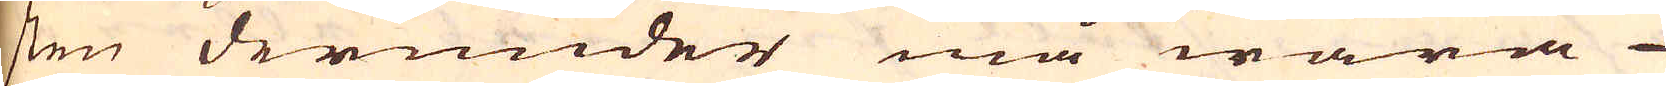sten derunder må wara
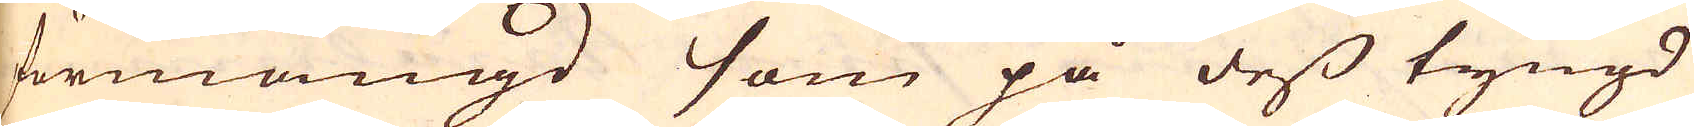förmängd som på dess tyngd
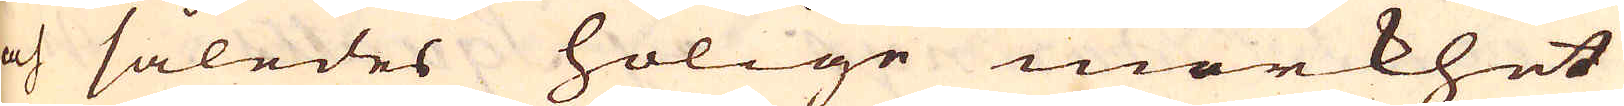och således holige mörkhet
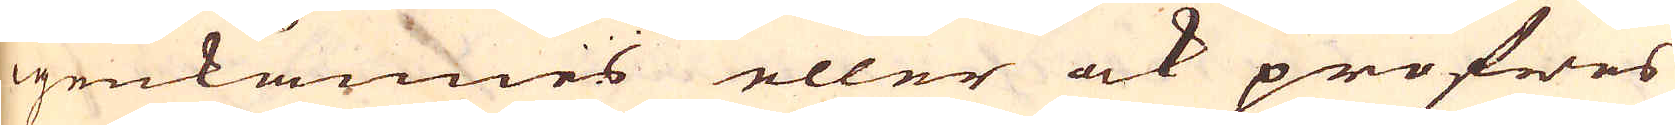igenkännes eller ock pröfwes
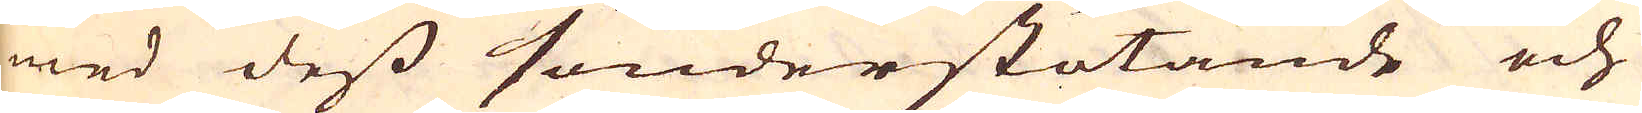med dess sönderstötande och
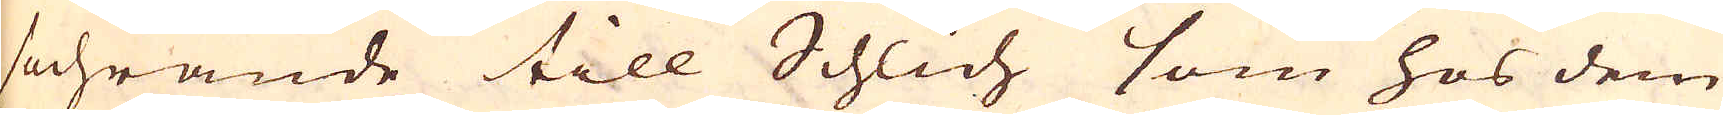sochrande till Schlich som hos dem
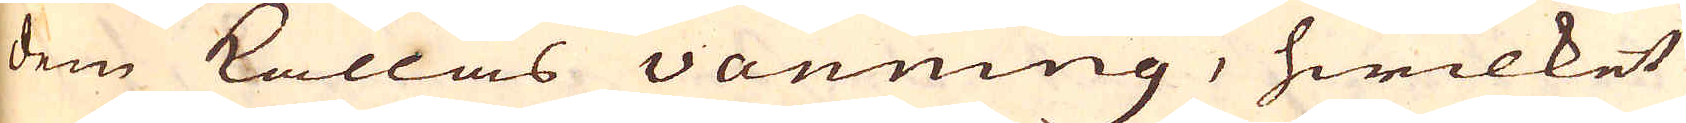dem kallas Vanning, hwilket
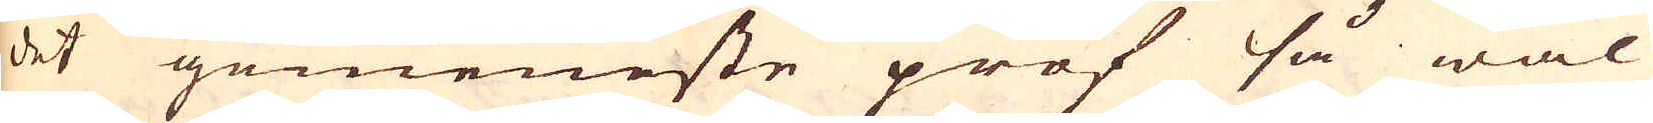det gemeneste prof så wäl
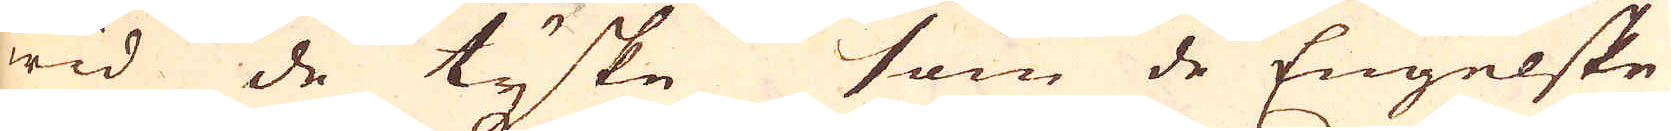wid de tyske som de Engelske
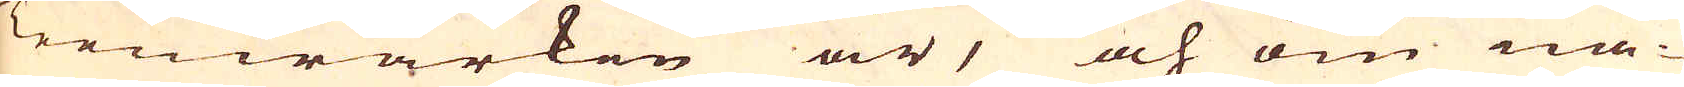Teenwärken är, och om nå-
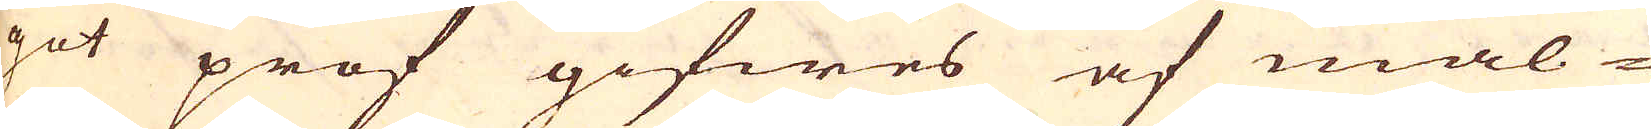got prof gifwes af mal-
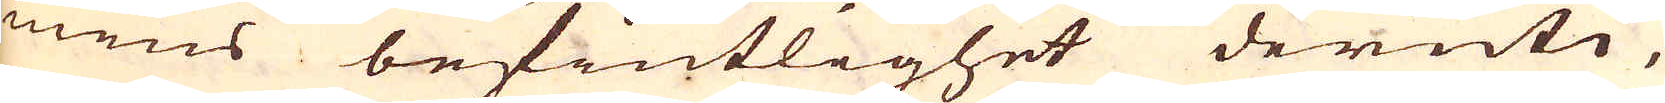mens befintlighet deruti,
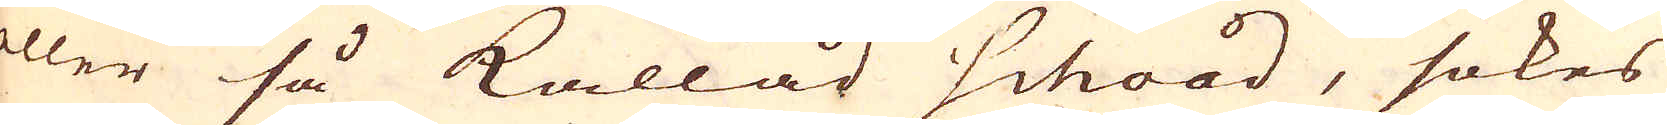eller så kallad Schood, sökes
